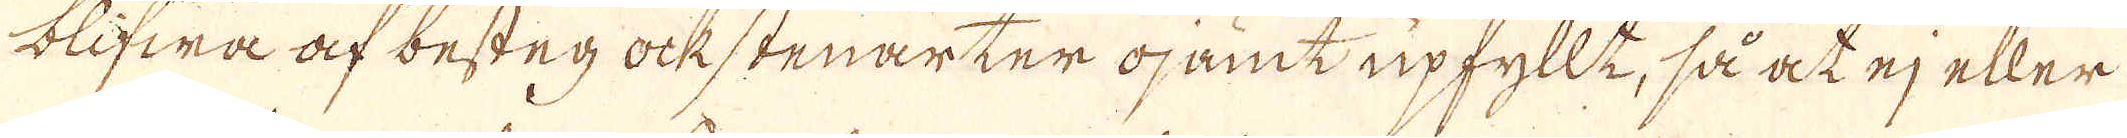blifwa af besten ockstenarter ojamt upfyllt, så at ej eller
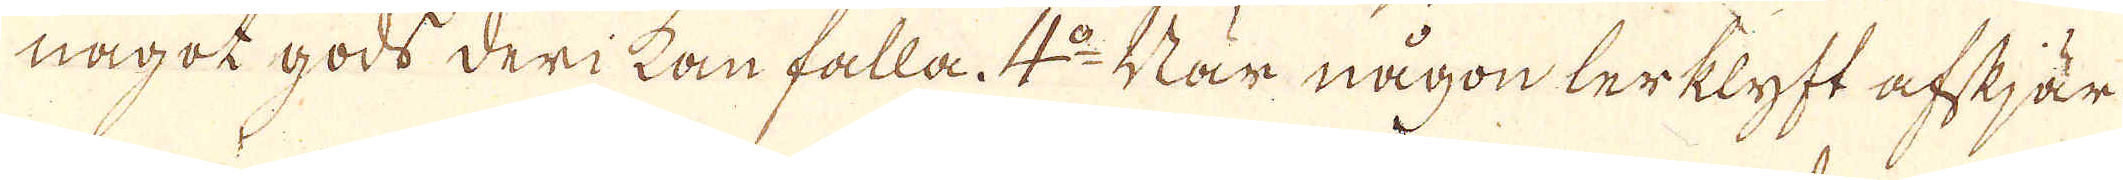något gods derikan falla. 4:o När någon lerklyft afskjär
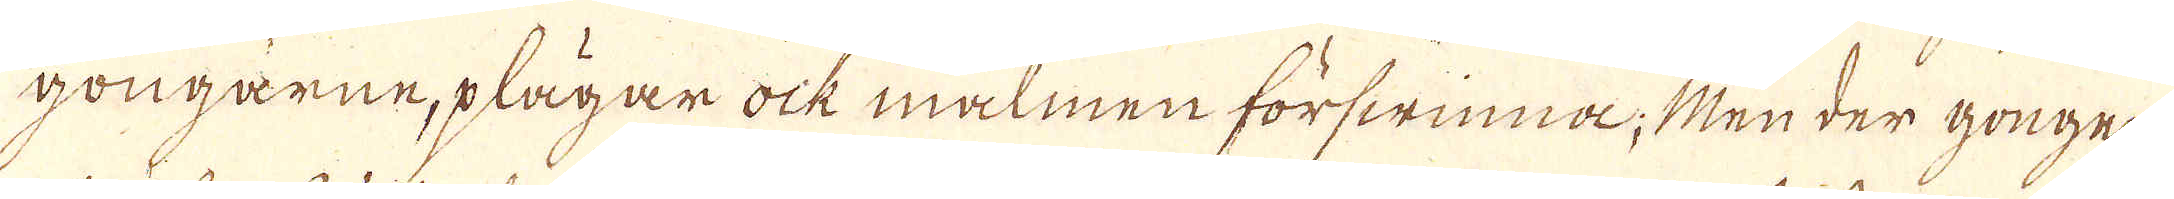gongarne, plägar ock malmen förswinna; Men der gongen
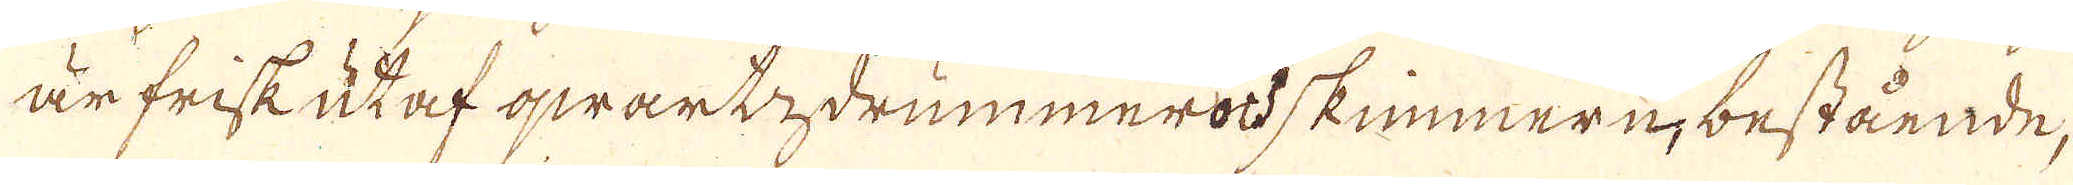är frisk utaf qwartdrummer od skimmern, bestående,
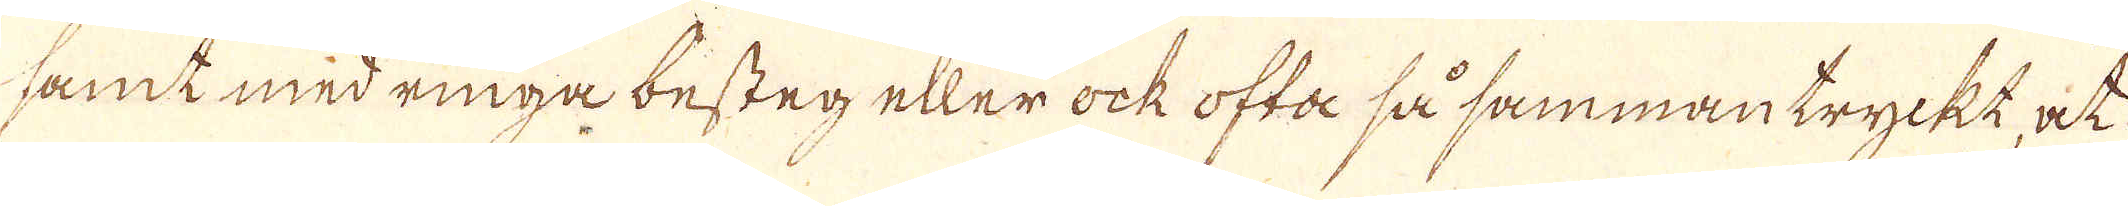samt med ringa besten eller ock ofta så sammantryckt, at
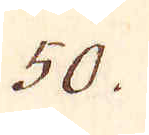50.
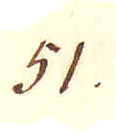51.
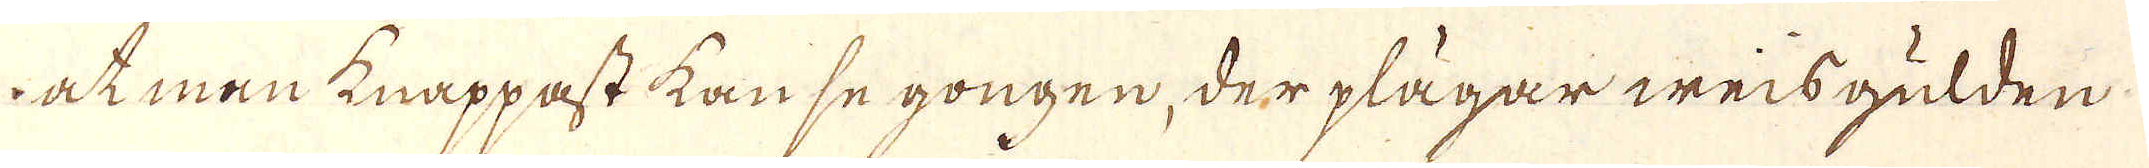i at man knappast kan se gongen, der plägar weisgulden
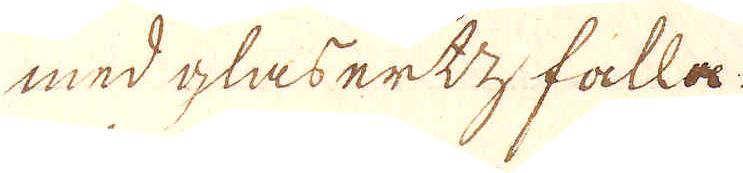med glasertz falla.
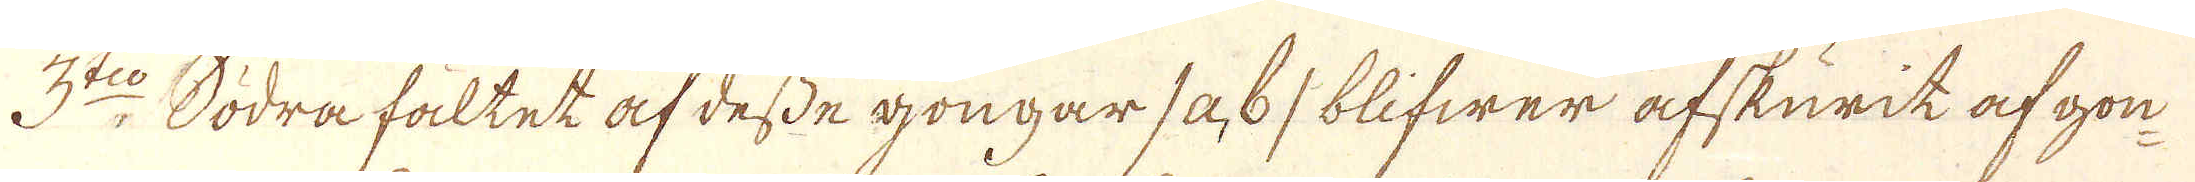3:dio Södra fältet af desse gongar /a, b/ blifwer afskurit af gon-
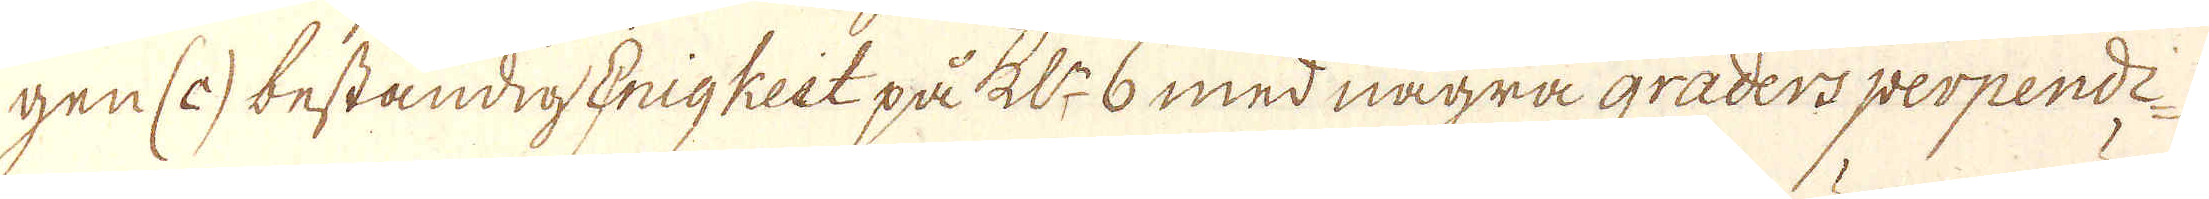gen (c) beständig Enigkeit på Kl:n 6 med några graders perpendi-
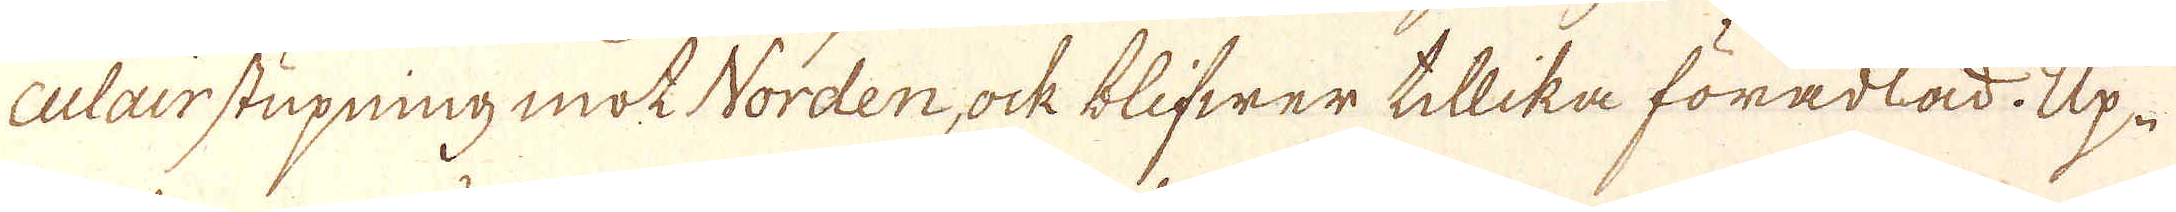culair stupning mot Norden, ock blifwer tillika förädlad. Up-
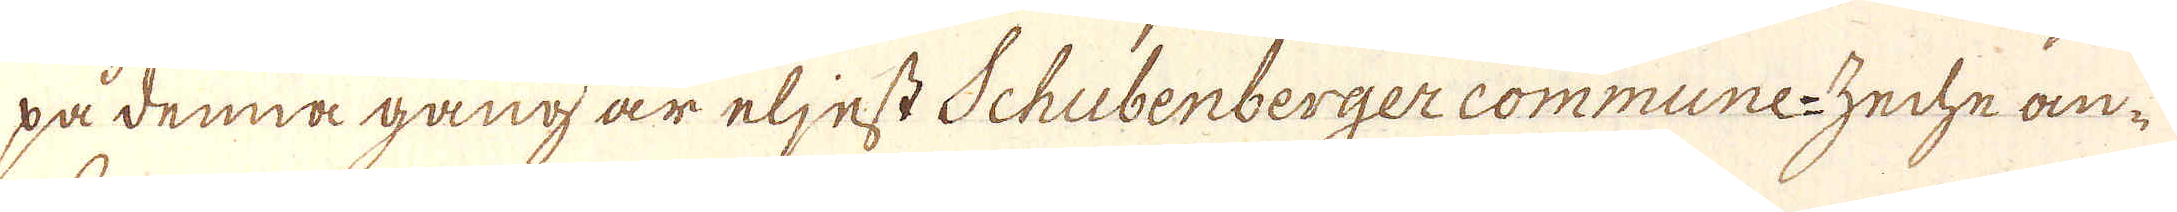på denna gång är eljest Schubenberger commune-zeche an-
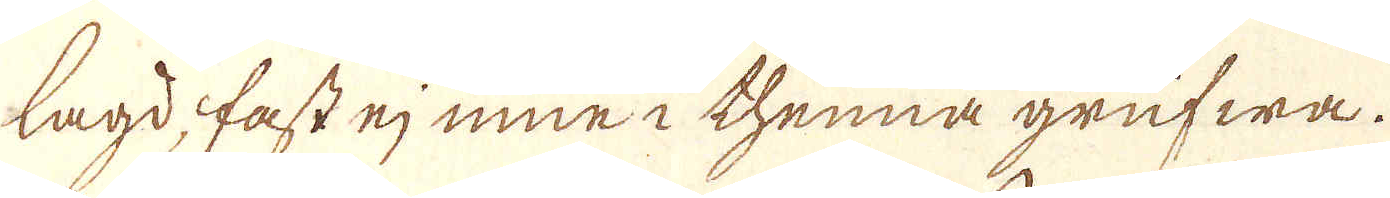lagd, fast ej inne i thenna grufwa.
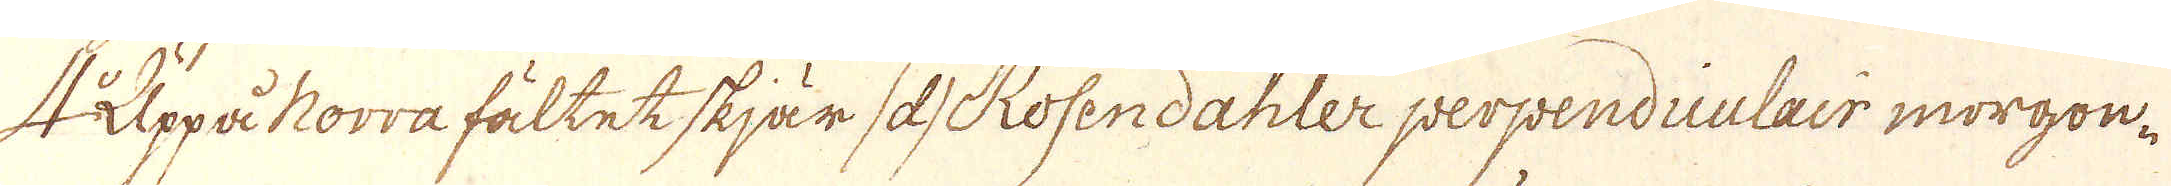Uppå Norra fältet skjär as Rosendahler perpendiculair morgon-
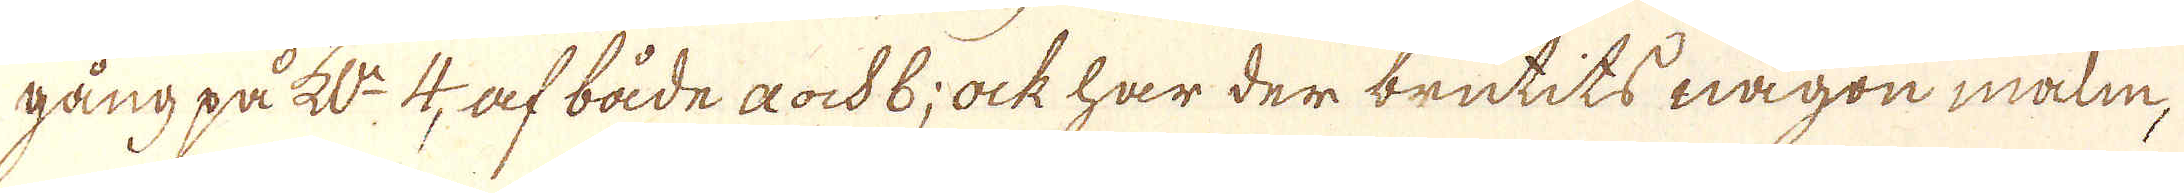gång på Kl:n 4, af både a och b; ock har der brutits någon malm,
